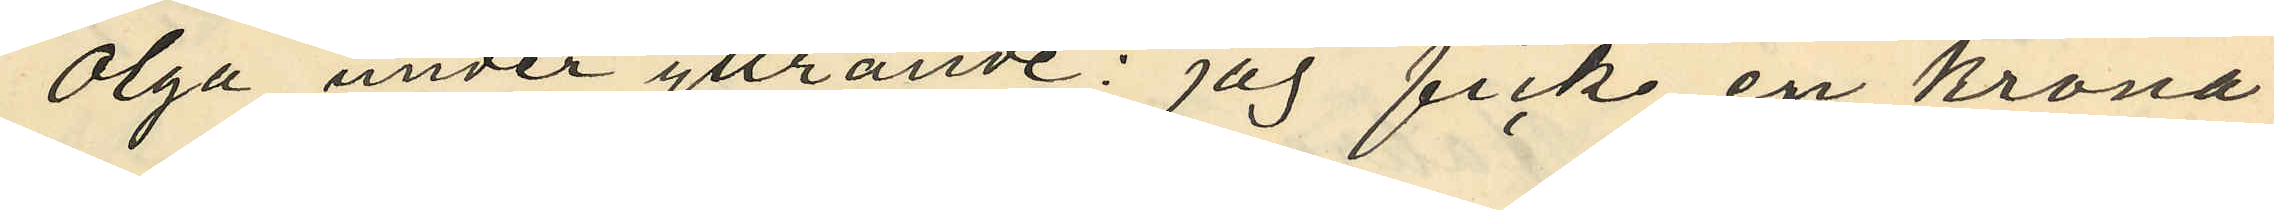Olga under yttrande: "jag fick en krona
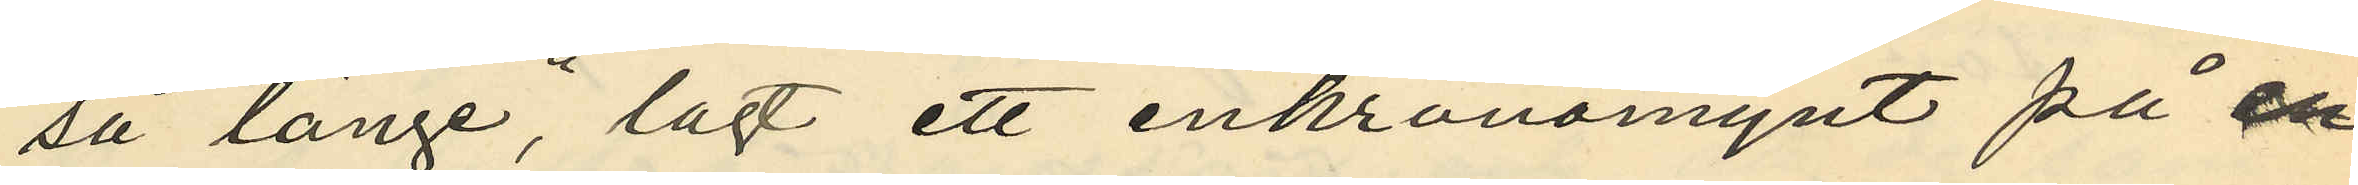så länge", lagt ett enkronomynt på en
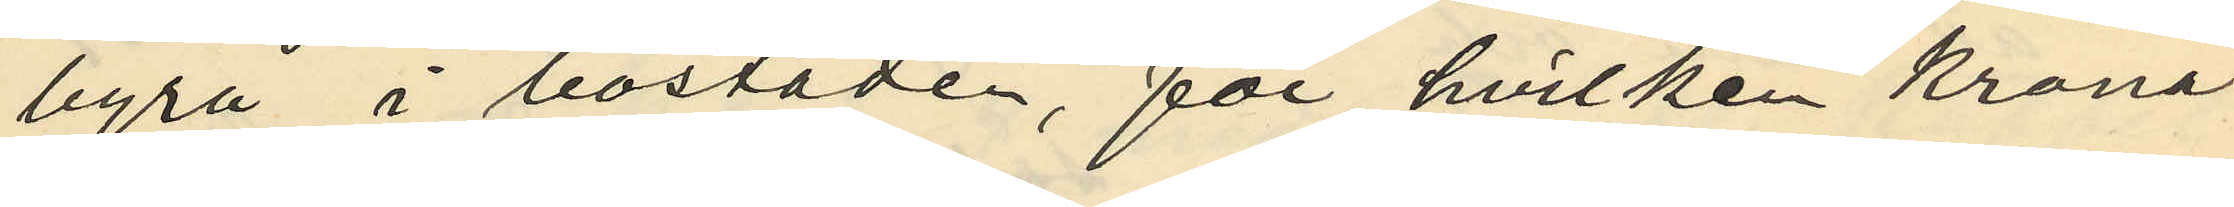byrå i bostaden, för hvilken krona
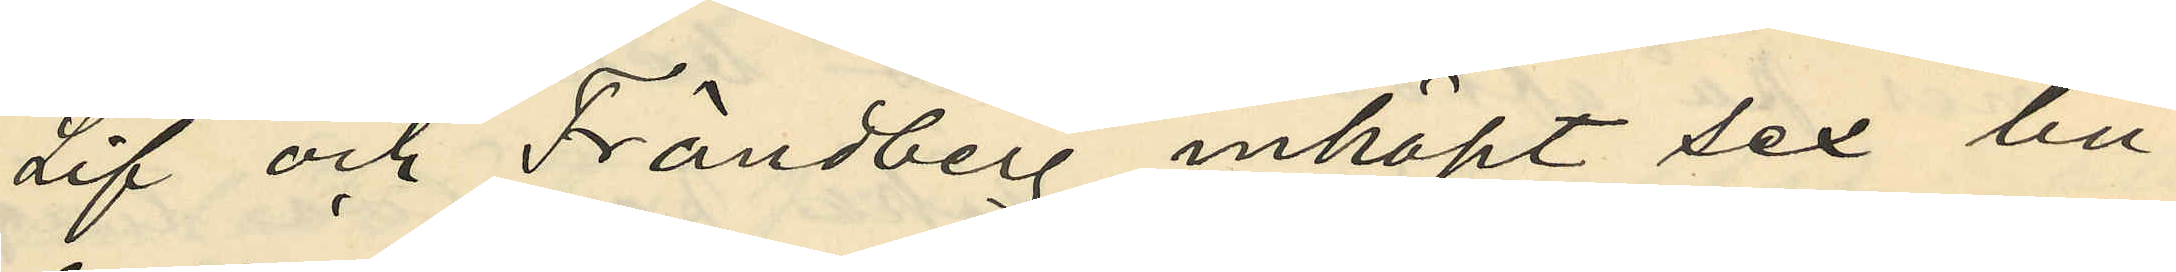Lif och Frändberg inköpt sex bu¬
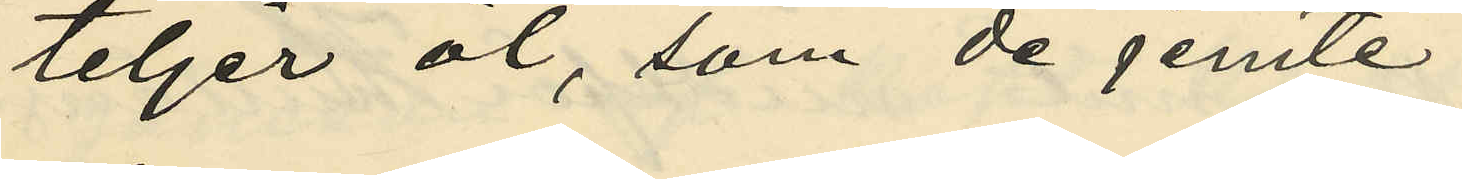teljer öl, som de jemte
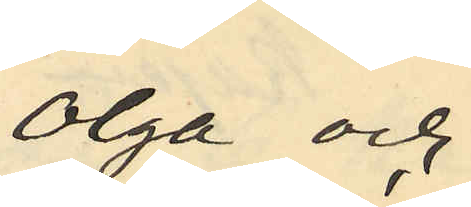Olga och
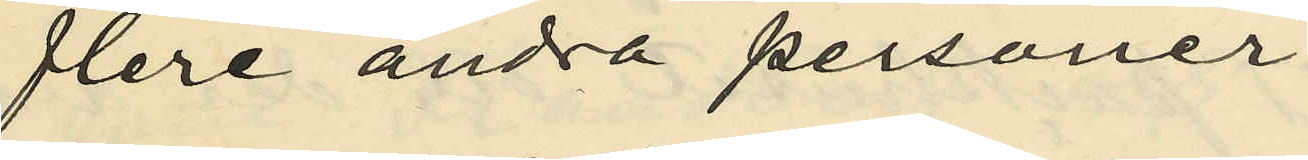flere andra personer
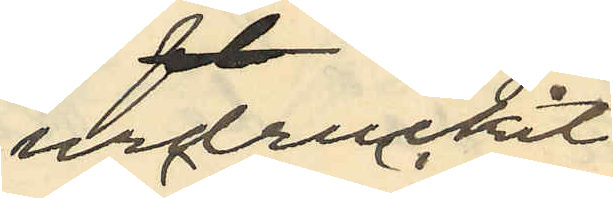urdruckit;
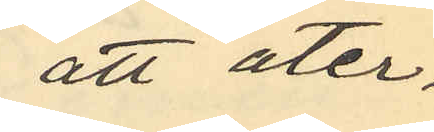att åter¬
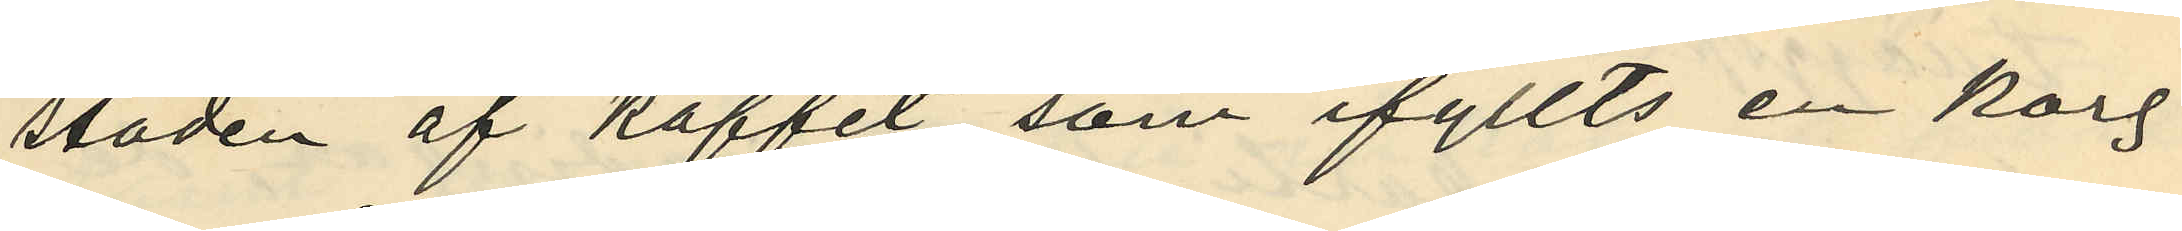stoden af kaffet, som ifyllts en korg
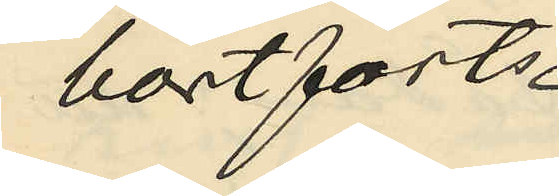bortförts
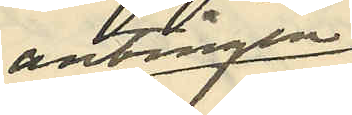antingen
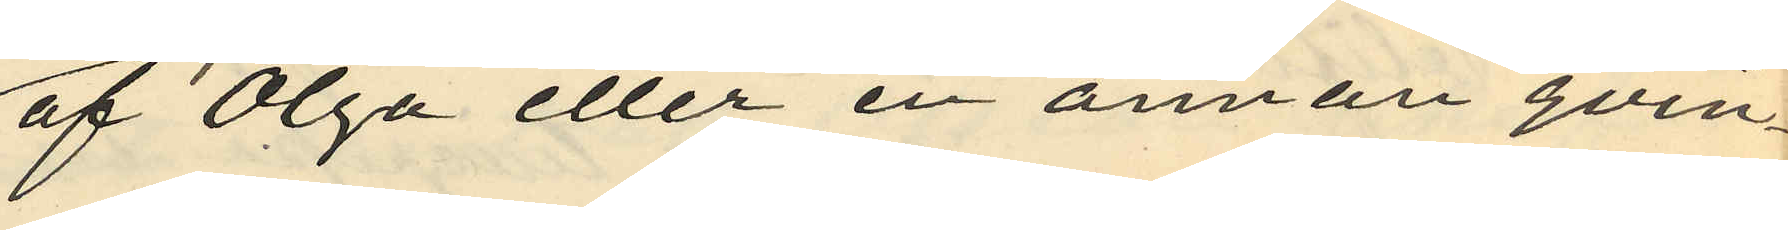af Olga eller en annan qvin¬
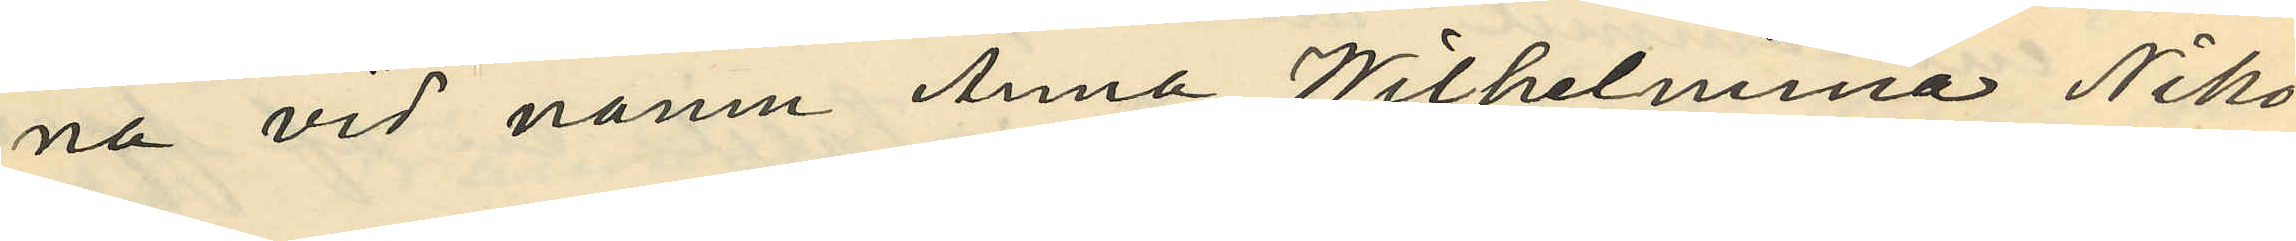na vid namn Anna Wilhelmina Niko¬
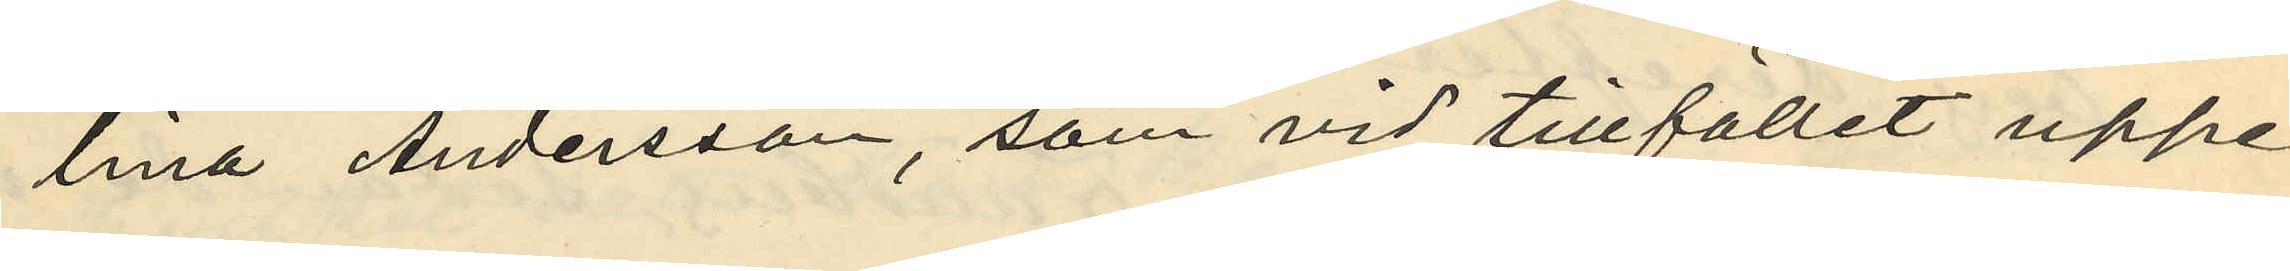lina Andersson, som vid tillfället uppe¬
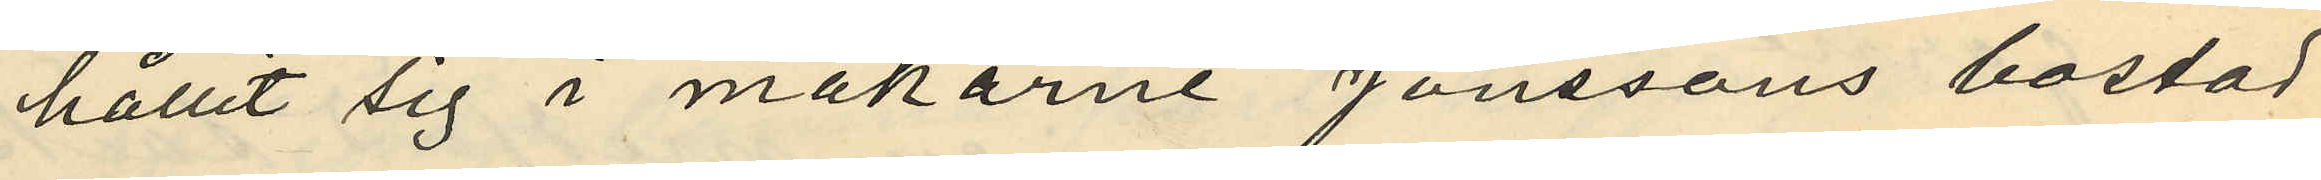hållit sig i makarne Jönssons bostad;
